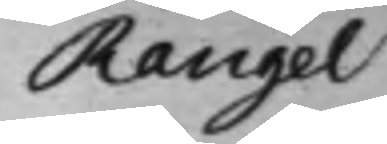Rangel
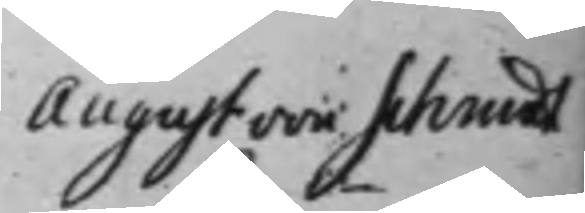August von Schmidt
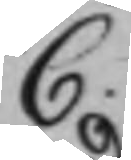C.
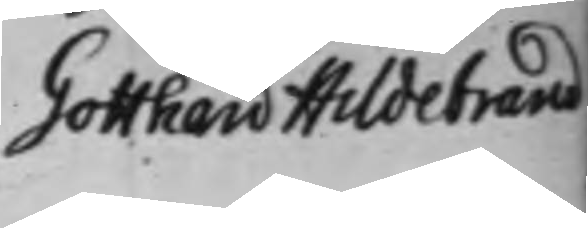Gotthard Hildebrand
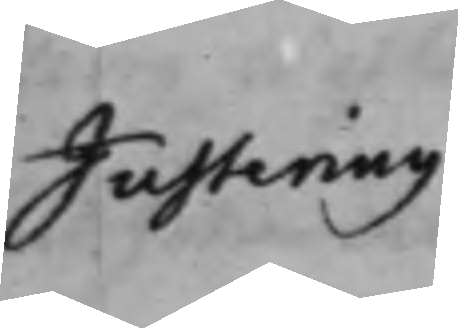Justering
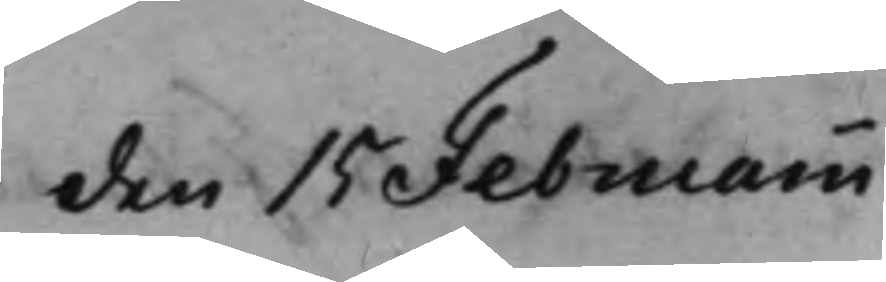den 15 Februarii
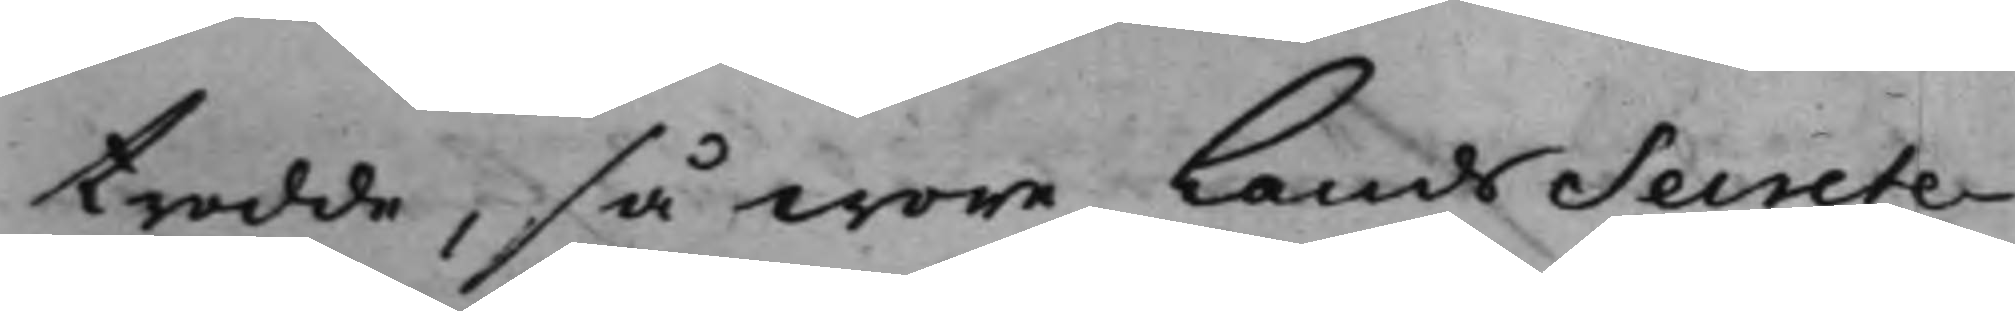trodde, så wore LandsSecrete¬
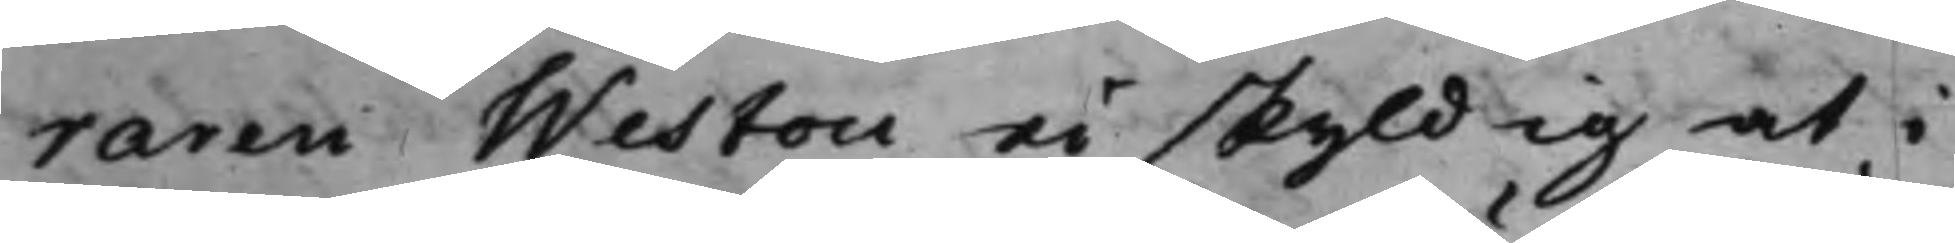raren Weston ei skyldig at i
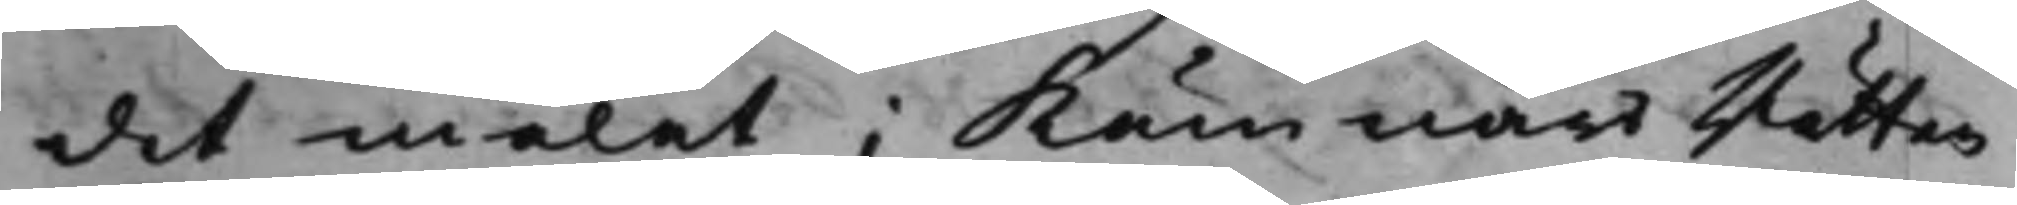det målet i KämnärsRätten
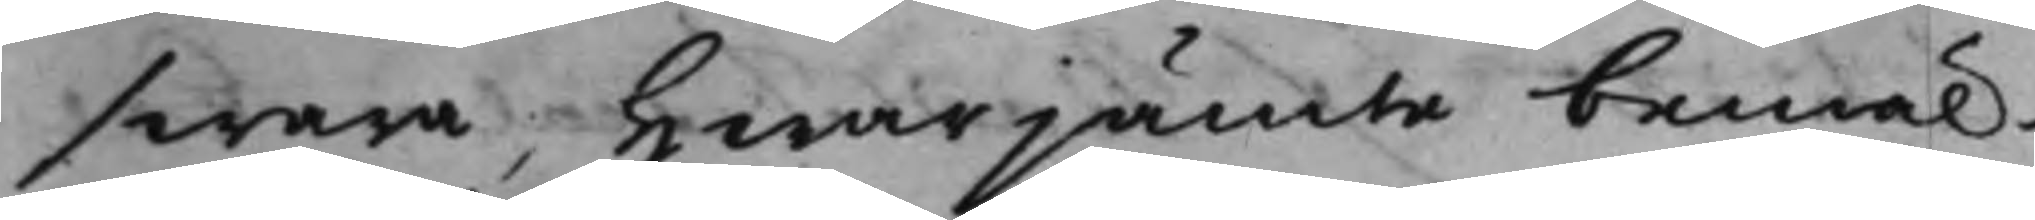swara, Hwarjämte bemäl¬
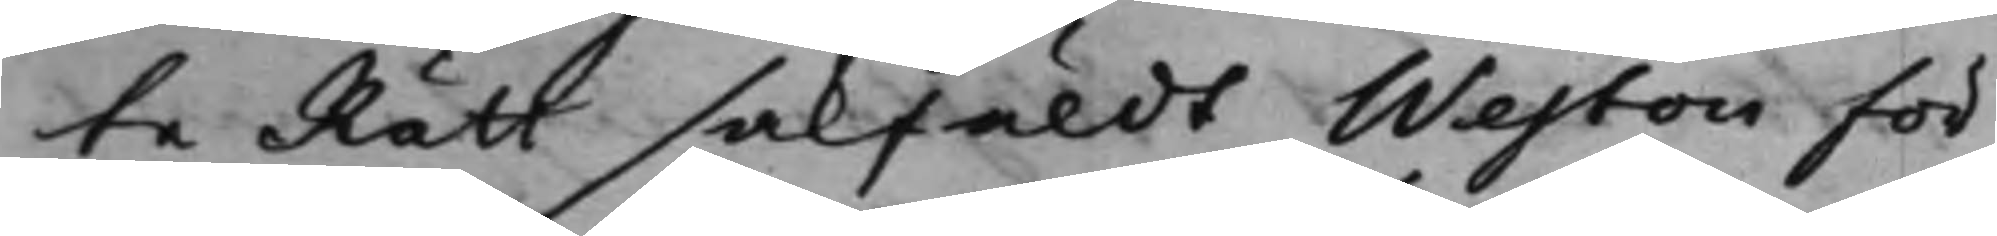te Rätt sakfäldt Weston för
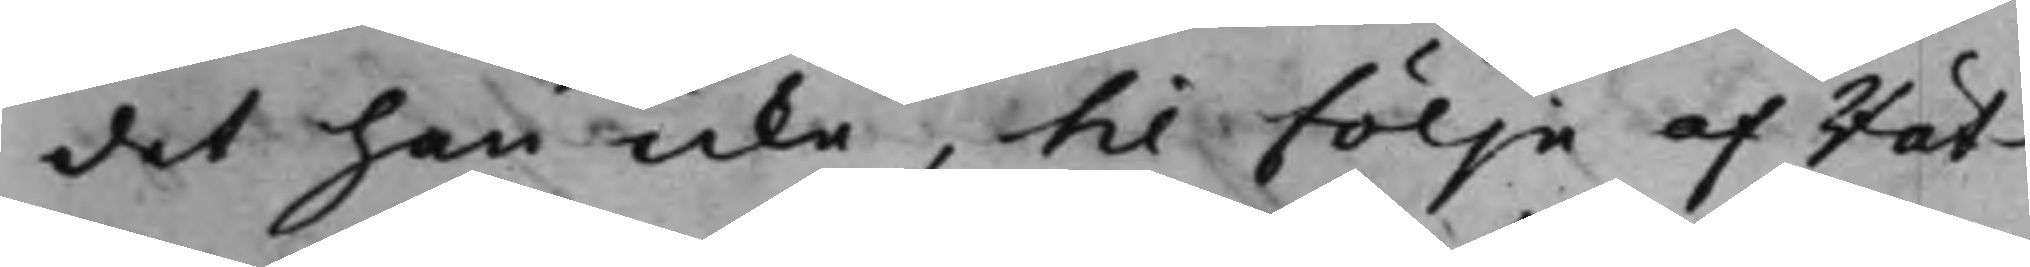det han icke, til följe af Rät¬
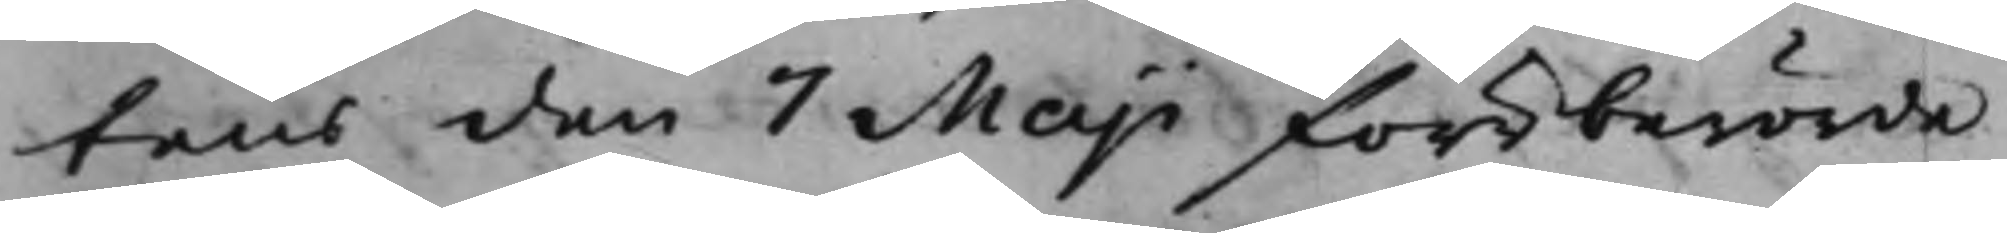tens den 7 Maji förberörde
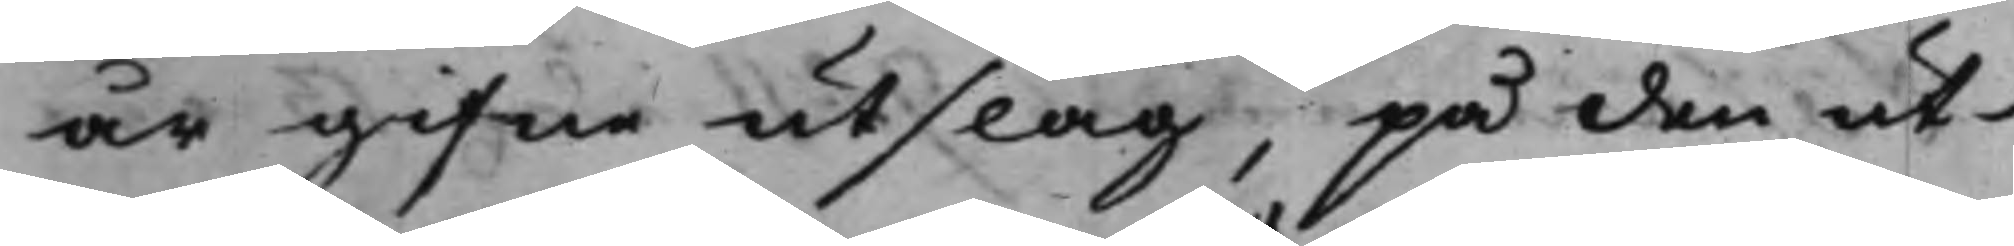år gifne utslag, på den ut¬
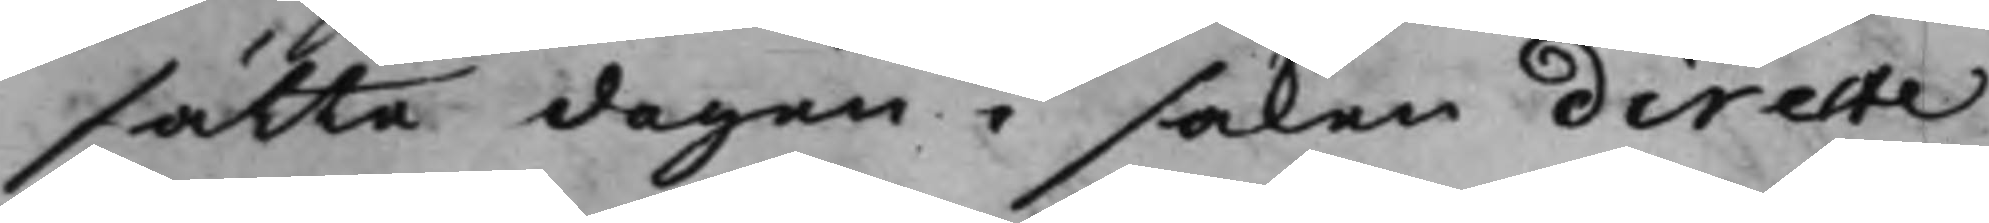sätte dagen i saken directe
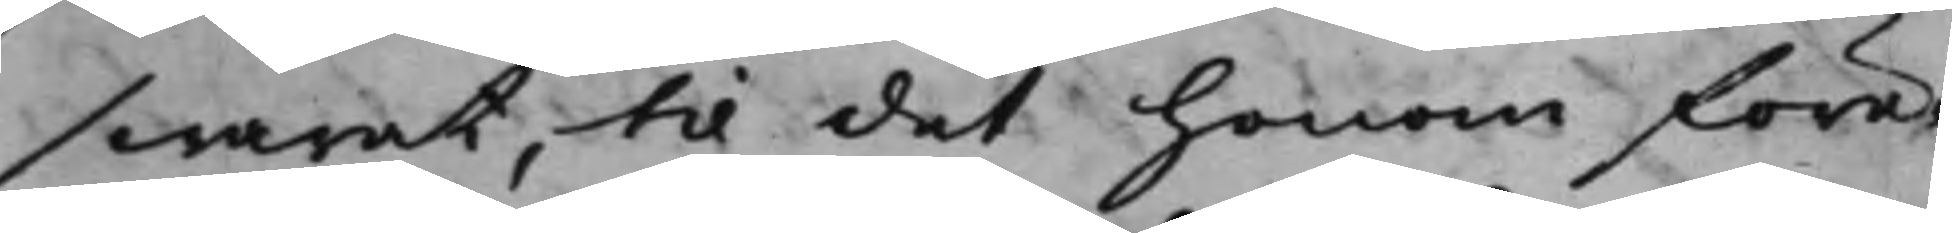swarat, til det honom före¬
